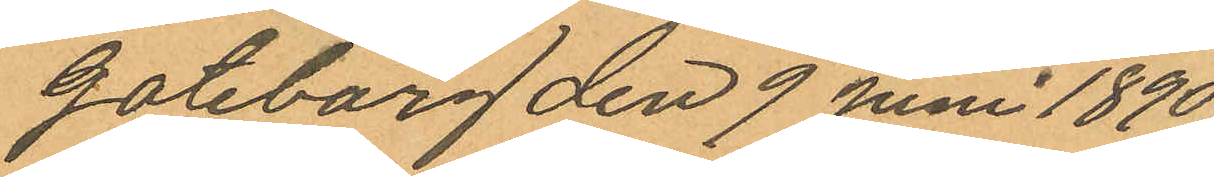Göteborg den 9 Juni 1890.
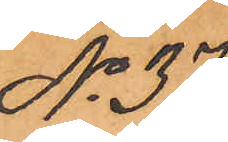No 37.
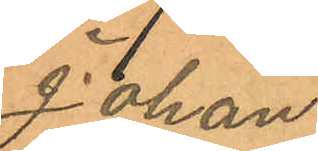Johan
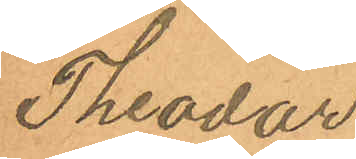Theodor
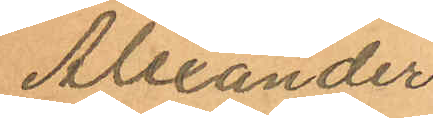Alexander
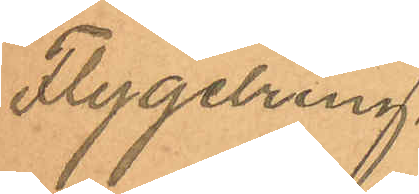Flygelring.
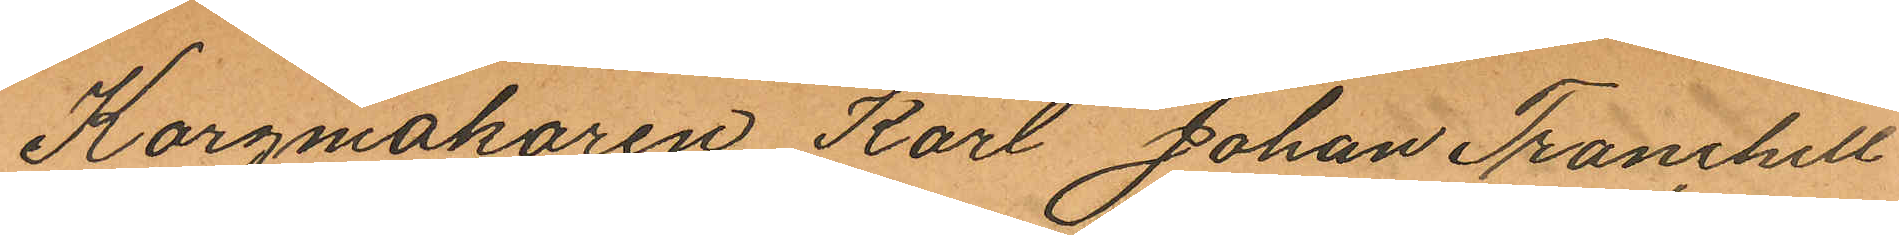Korgmakaren Karl Johan Tranchell
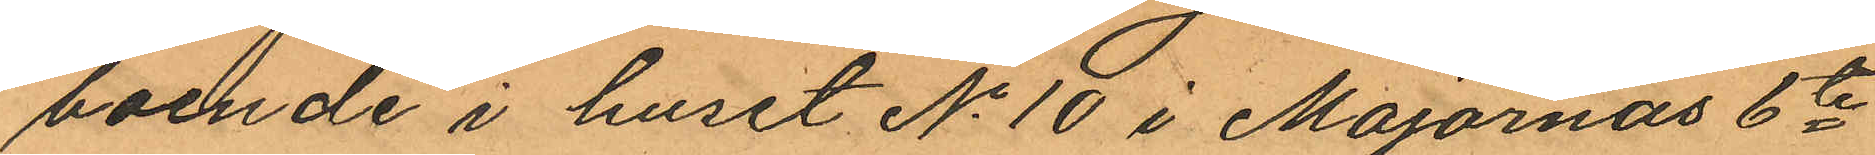boende i huset No 10 i Majornas 6te
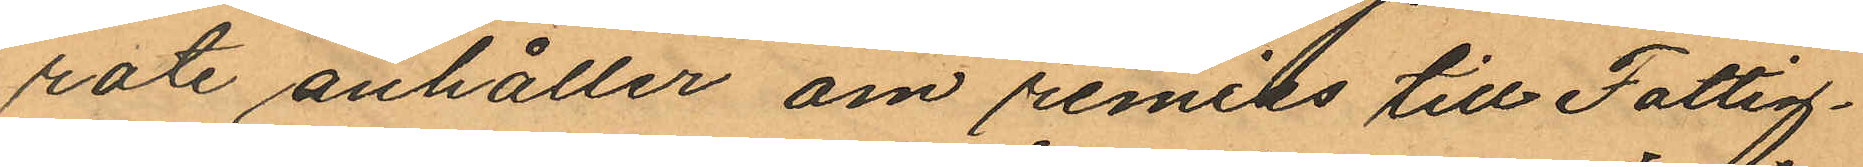rote anhåller om remiss till Fattig¬
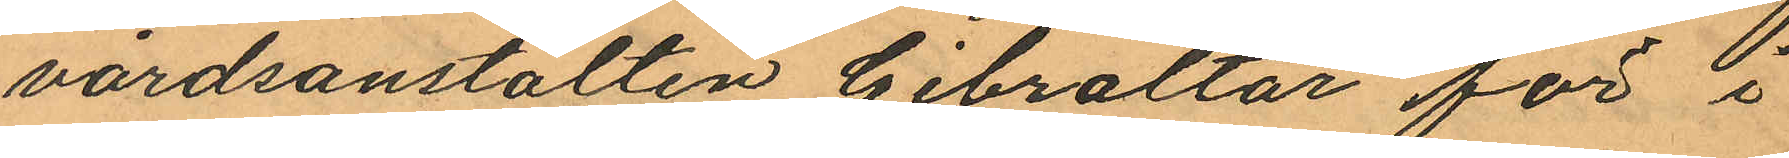vårdsanstalten Gibraltar för i
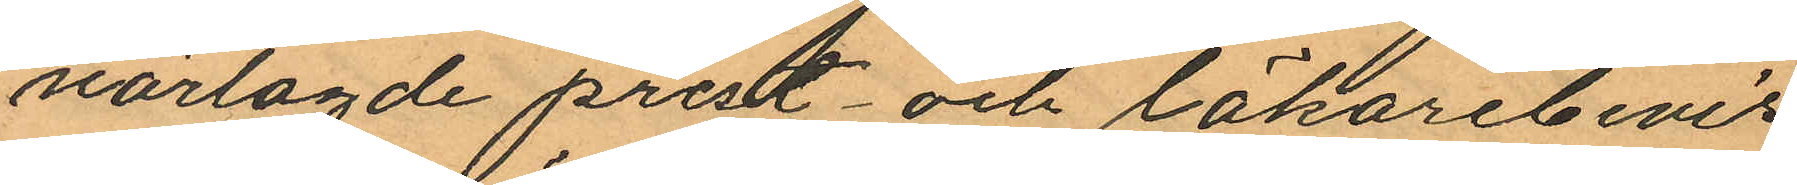närlagde prest- och läkarebevis
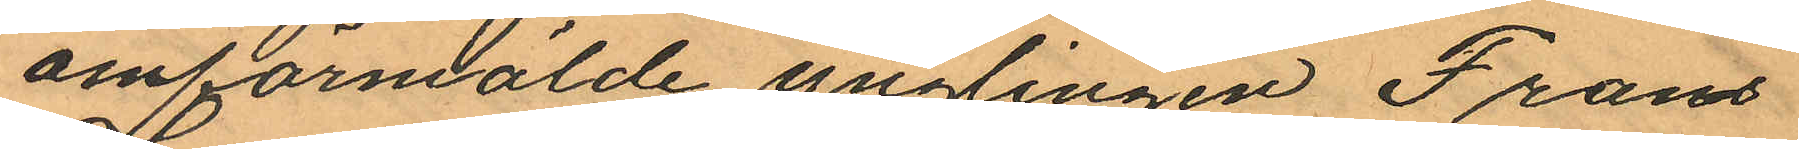omförmälde ynglingen Frans
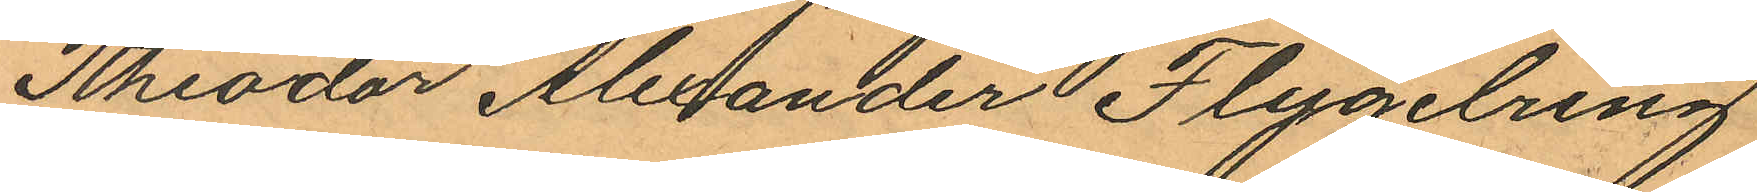Theodor Alexander Flygelring
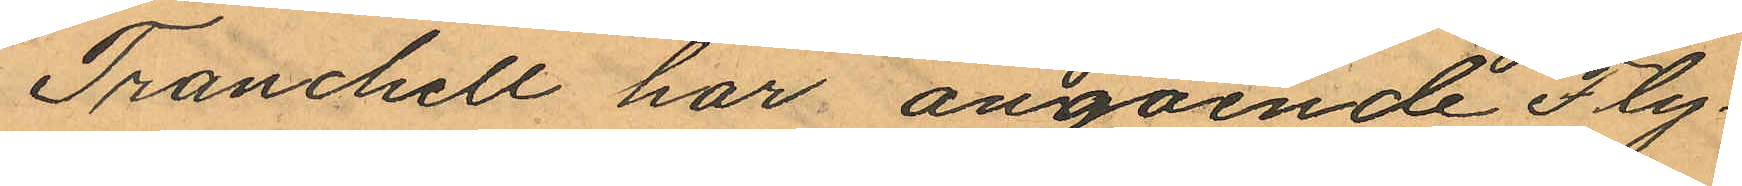Tranchell har angående Fly¬
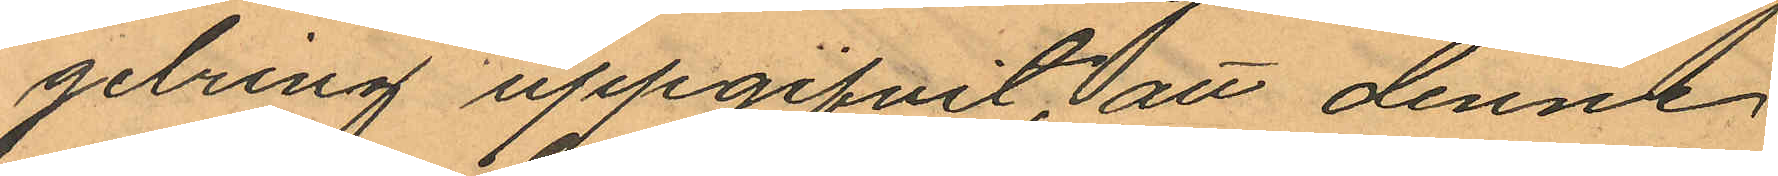gelring uppgifvit, att denne
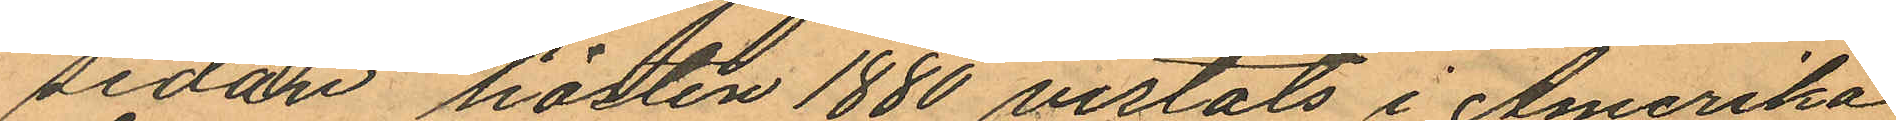sedan hösten 1880 vistats i Amerika
